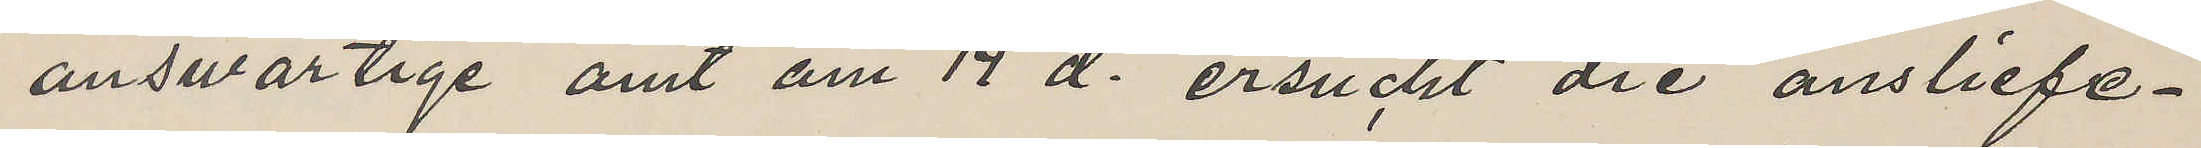auswartige amt am 14 d. ersucht die ansliefe¬
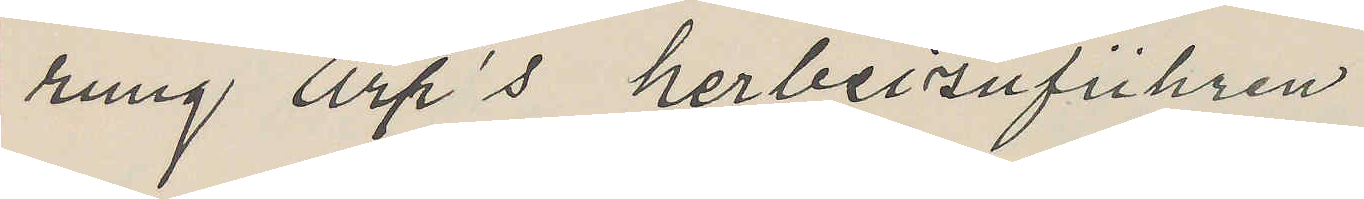rung Arp's herbeizufuhren 
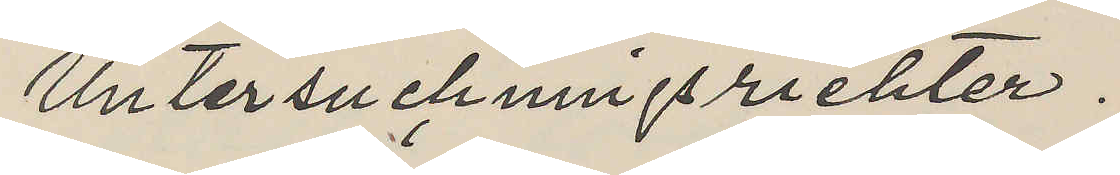Untersuchningsriehter.
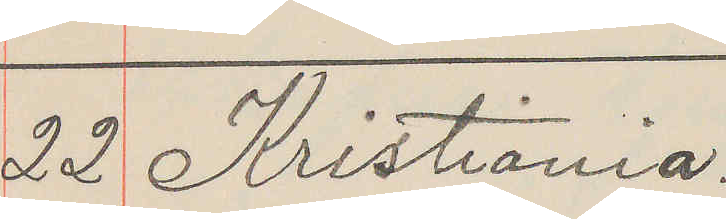22 Kristiania
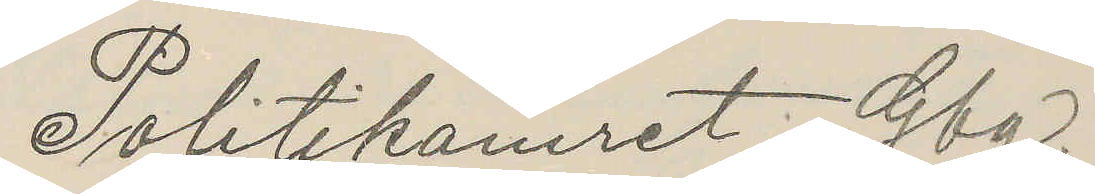Politikamret Gbg.
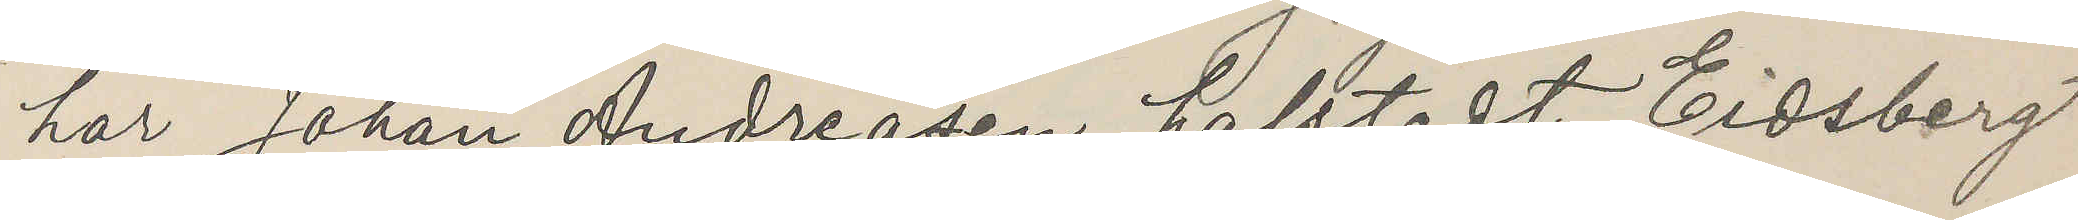har Johan Andreasen holstedt Eidsberg
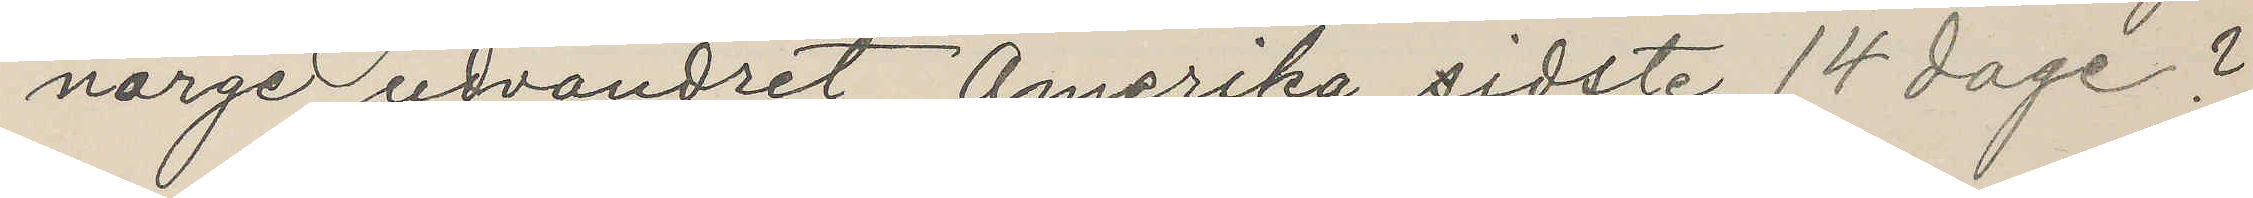norge udvandret Amerika sidste 14 dage?
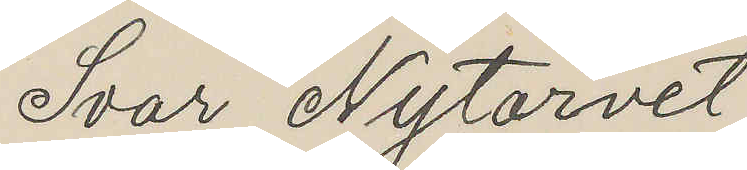Ivar Nytorvet
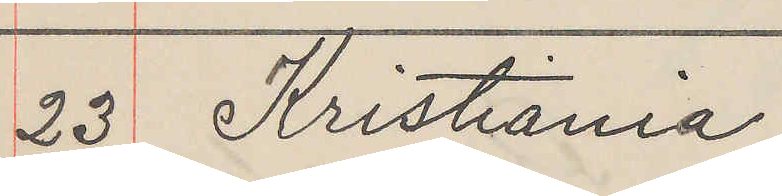23 Kristiania
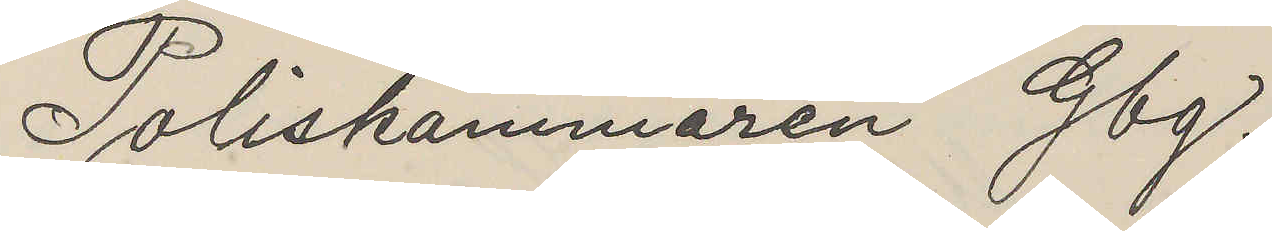Poliskammaren Gbg.
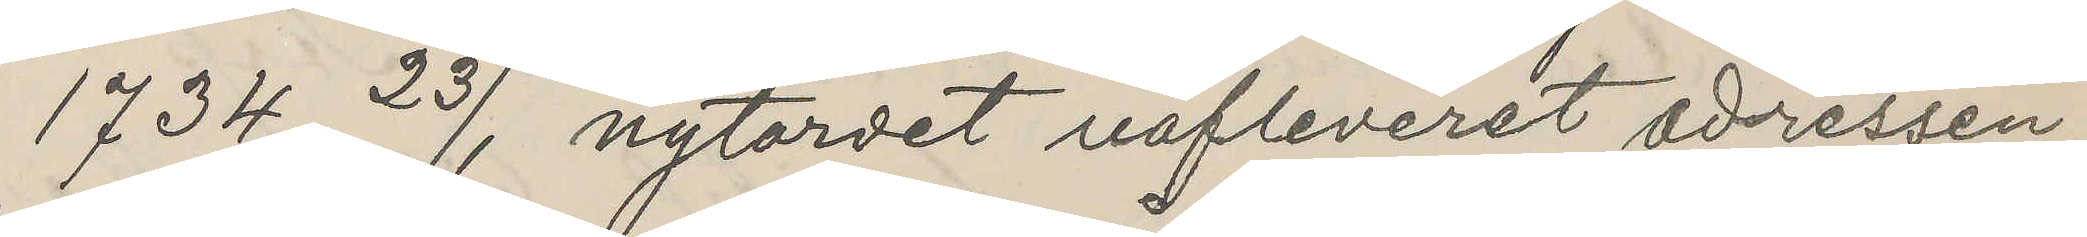1734 23/1, nytardet uafleverst adressen
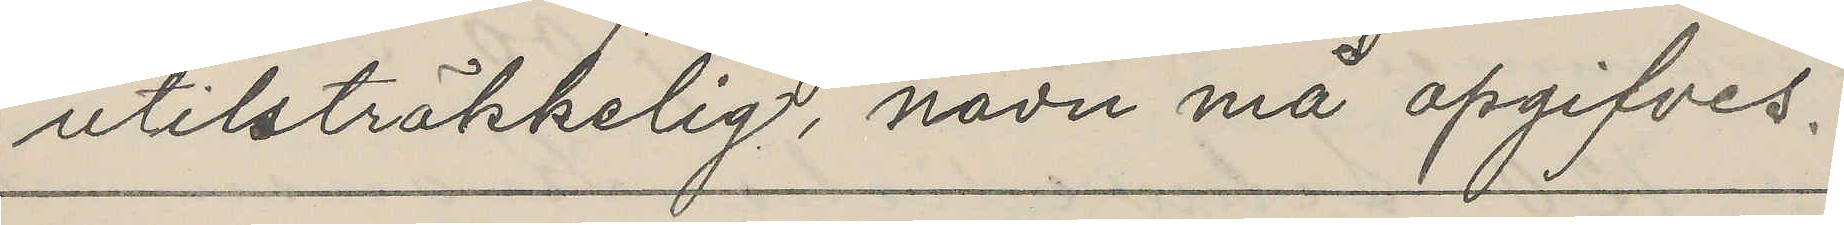utilsträkkelig, navn må apgifves.
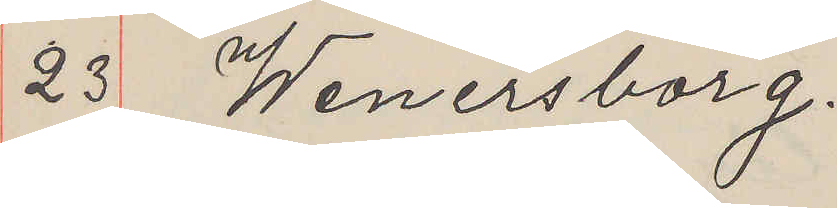23 Wenersborg.
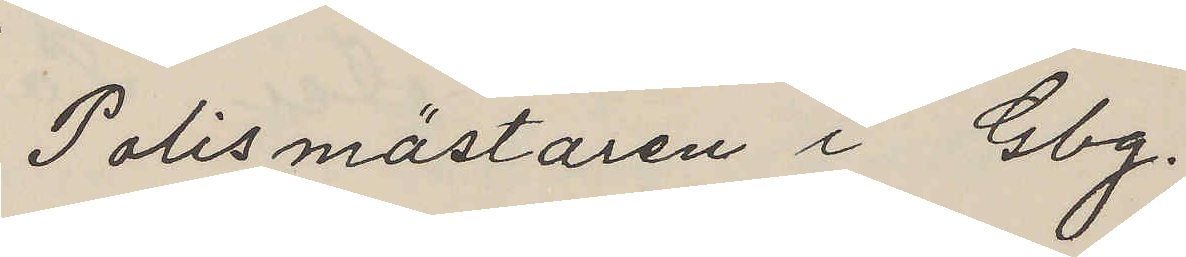Polismästaren i Gbg.
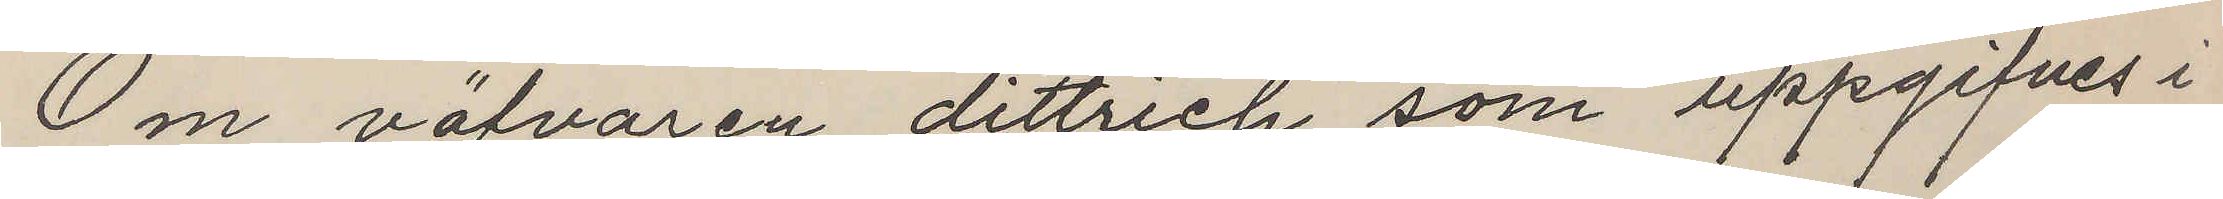Om väfvaren dittrich som uppgifves i
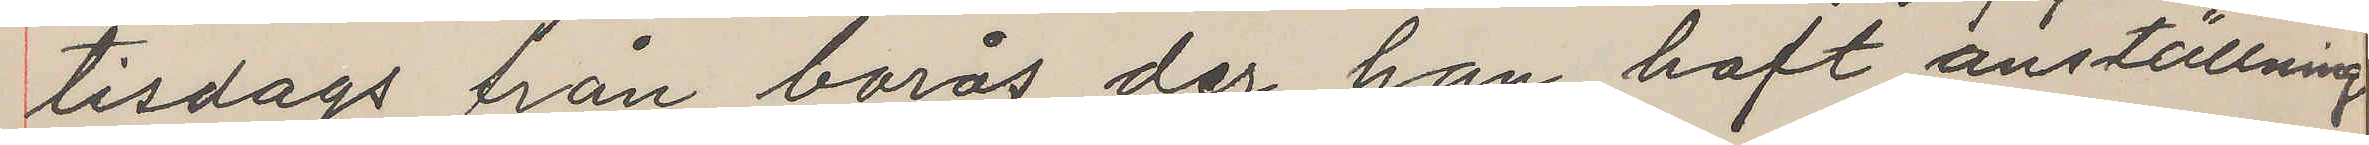tisdags från borås der han haft anställning
